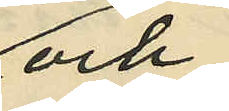och
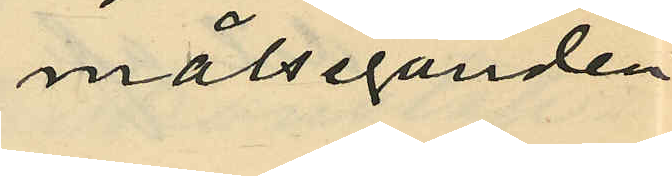målseganden
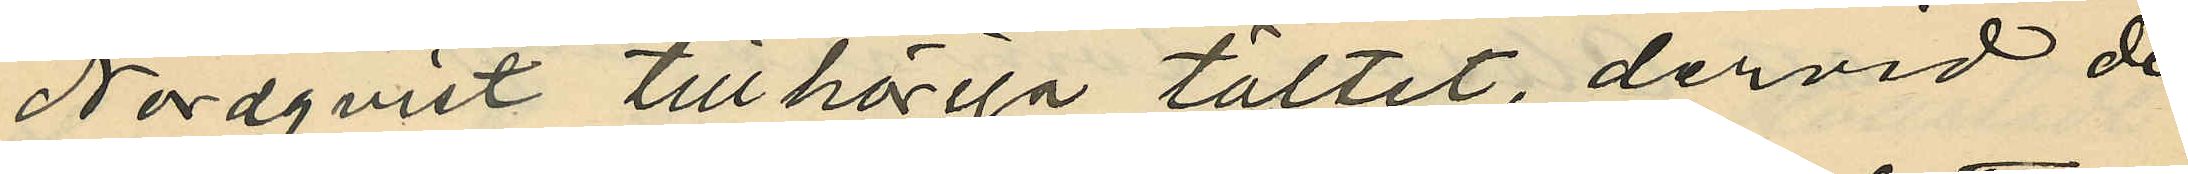Nordqvist tillhöriga tältet, dervid de
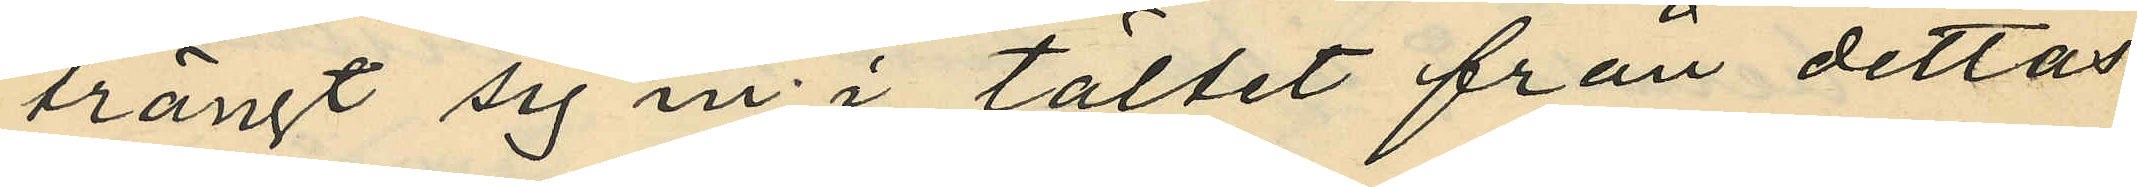trängt sig in i tältet från dettas
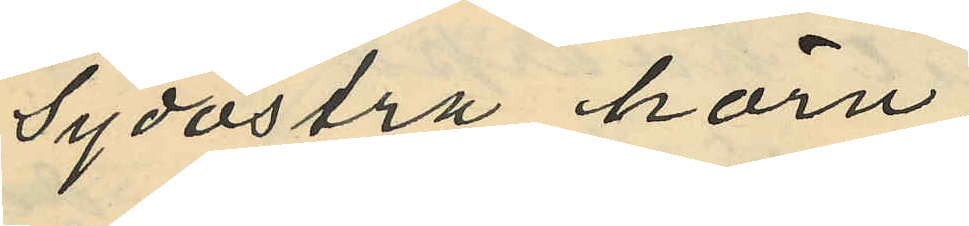sydöstra hörn;
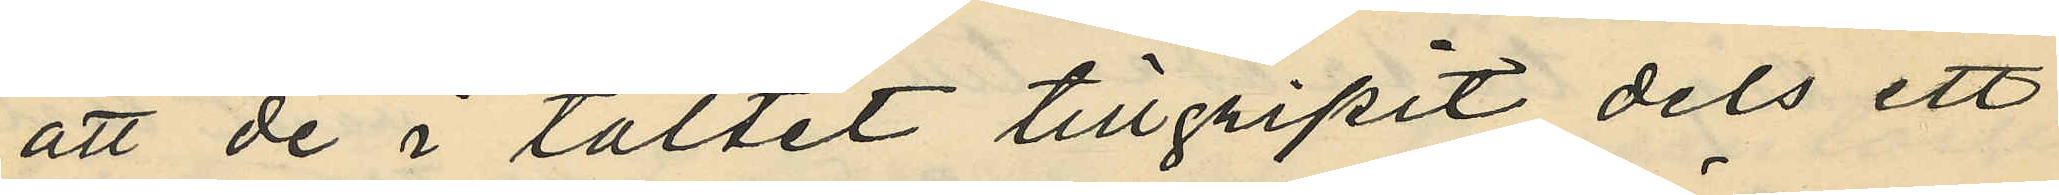att de i tältet tillgripit dels ett
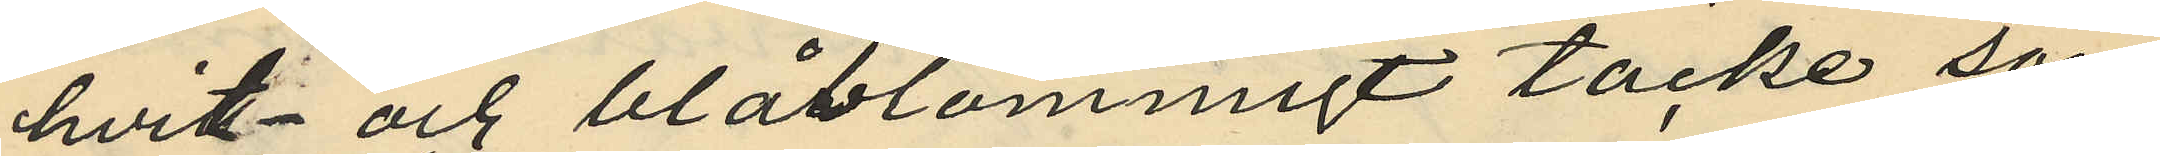hvit- och blåblommigt täcke som
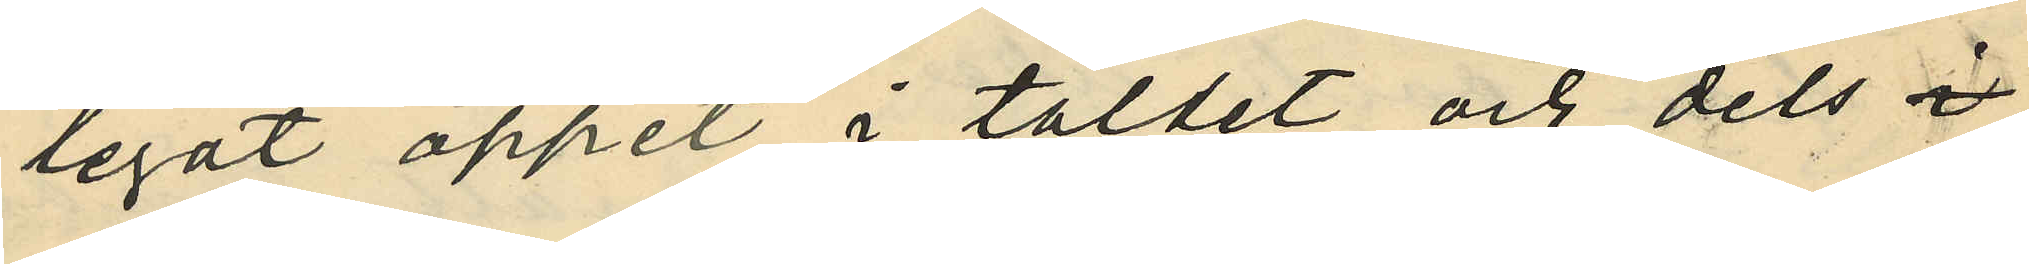legat öppet i tältet och dels 
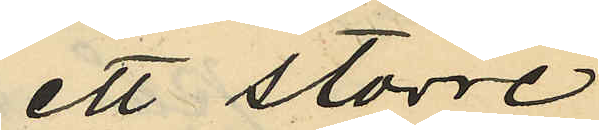ett större
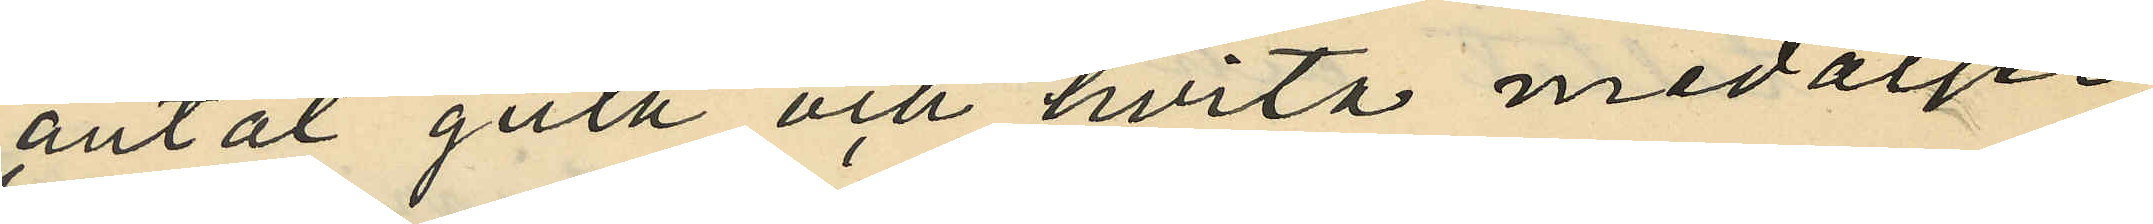antal gula och hvita medaljer,
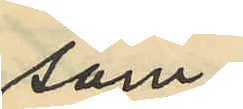som
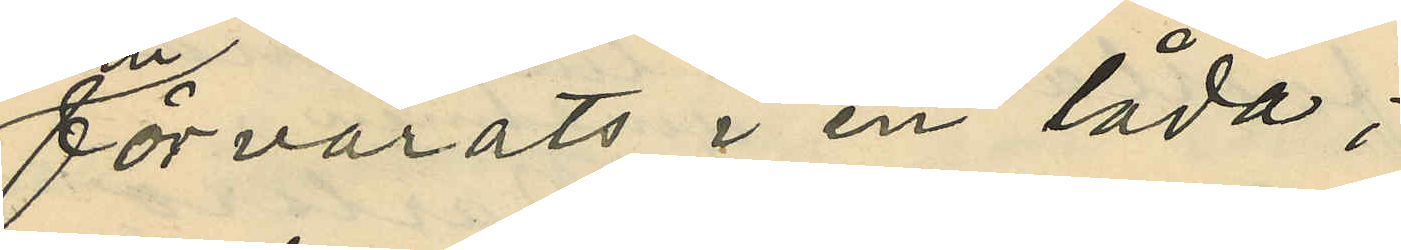förvarats i en låda;
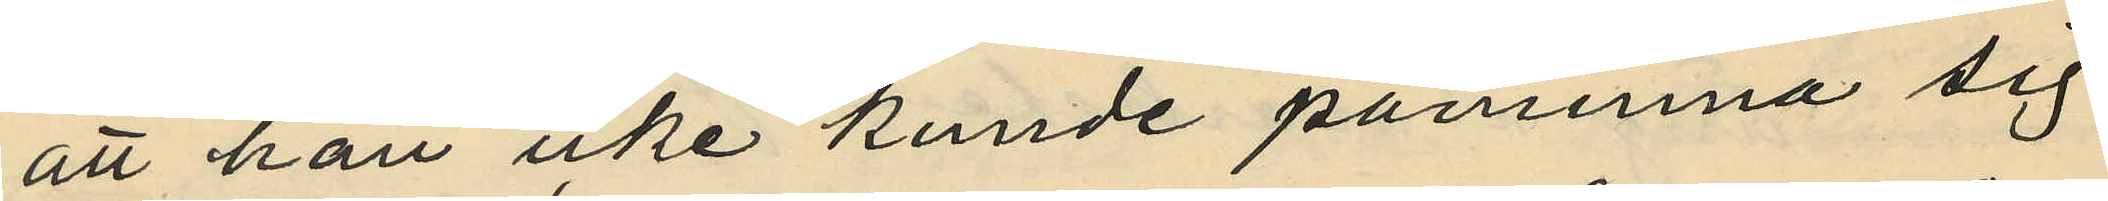att han icke kunde påminna sig
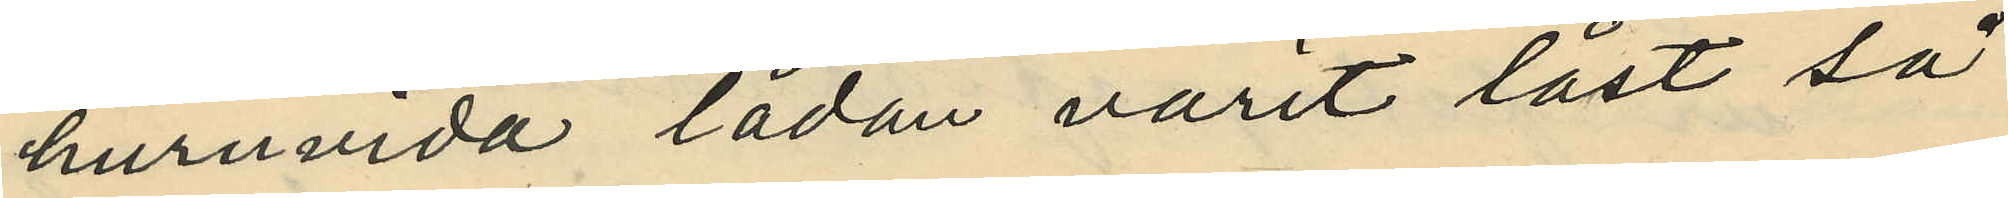huruvida lådan varit låst så
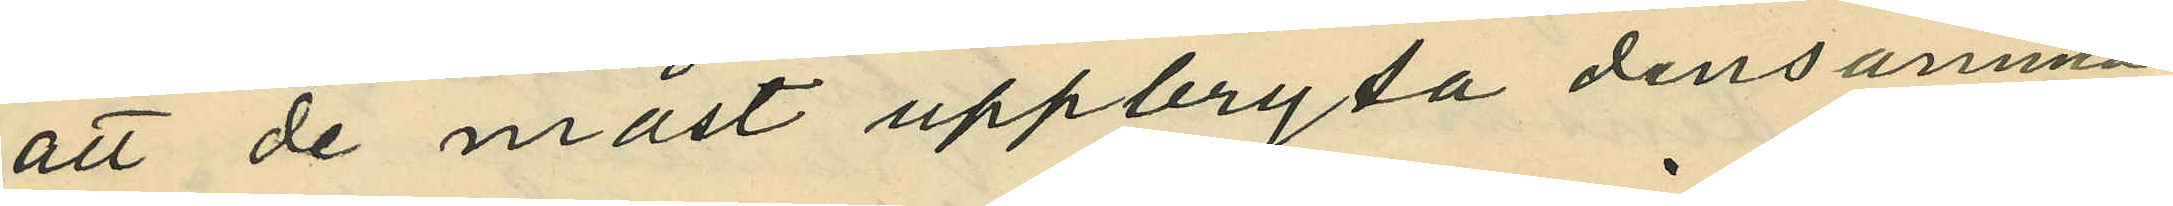att de måst uppbryta densamma,
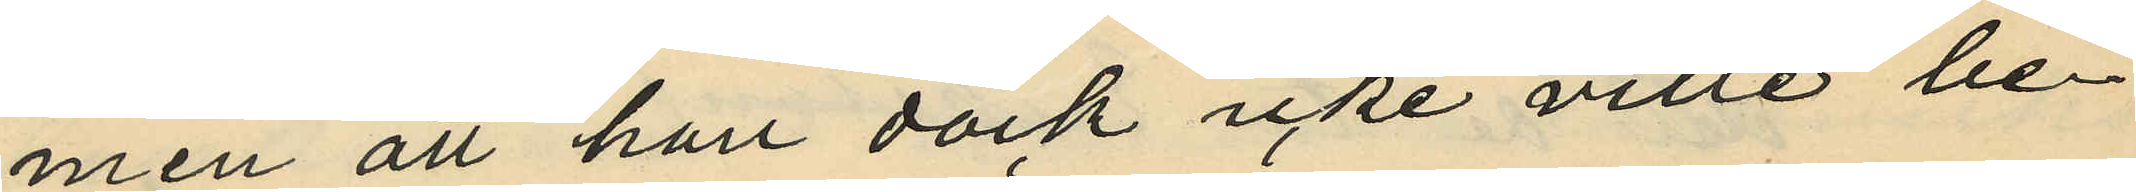men att han dock icke ville be¬
